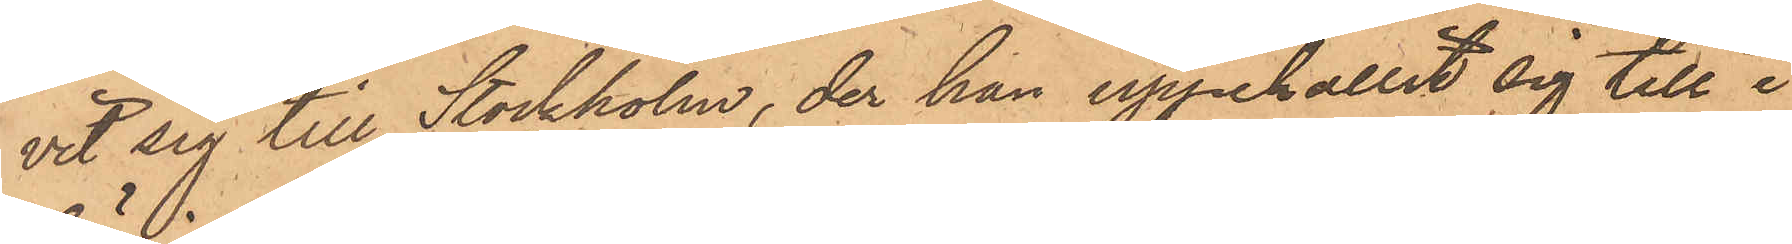vit sig till Stockholm, der han uppehållit sig till i
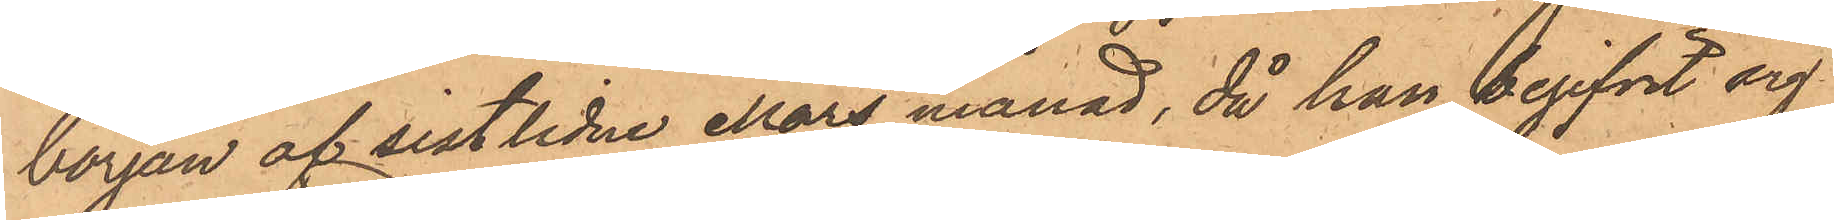början af sistlidne Mars månad, då han begifvit sig
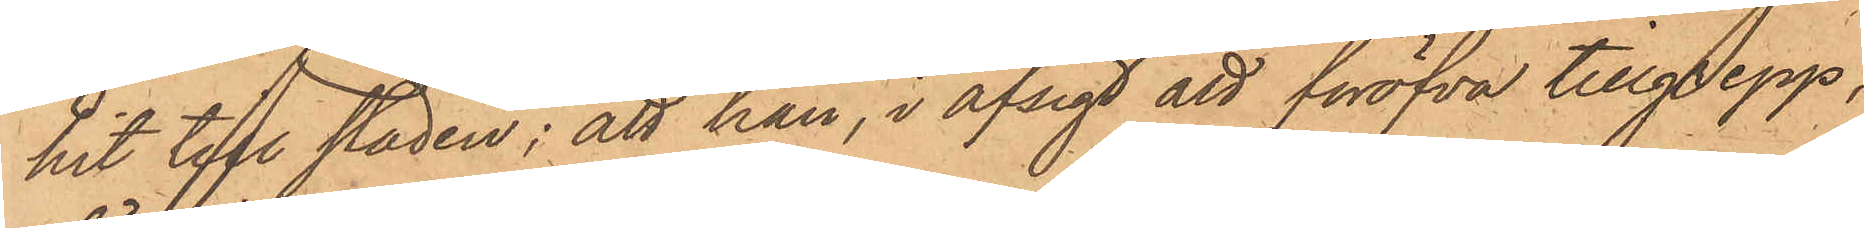hit till staden; att han, i afsigt att föröfva tillgrepp,
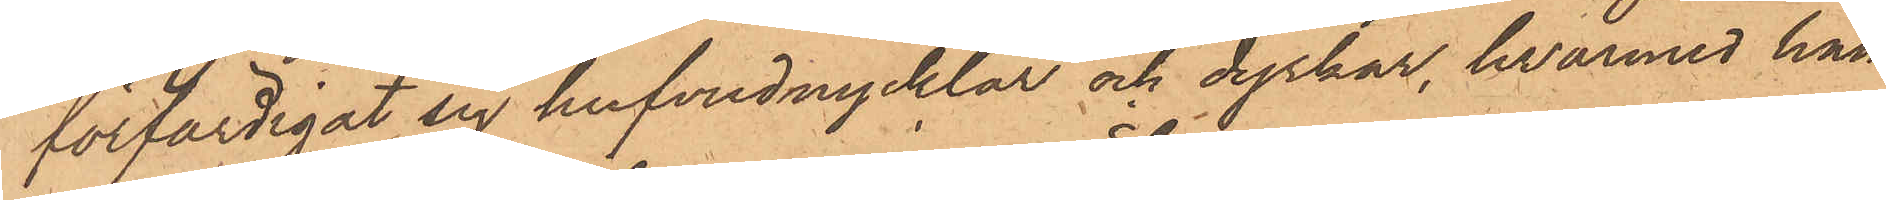förfärdigat sig hufvudnycklar och dyrkar, hvarmed han
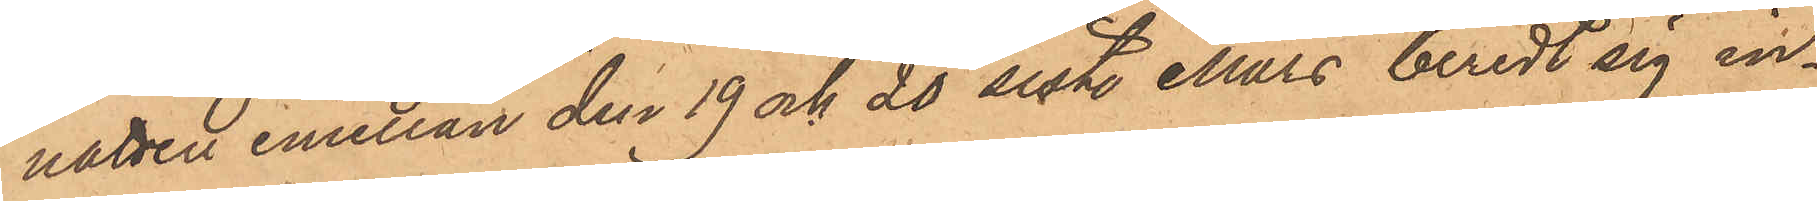natten emellan den 19 och 20 sistl. Mars beredt sig in¬
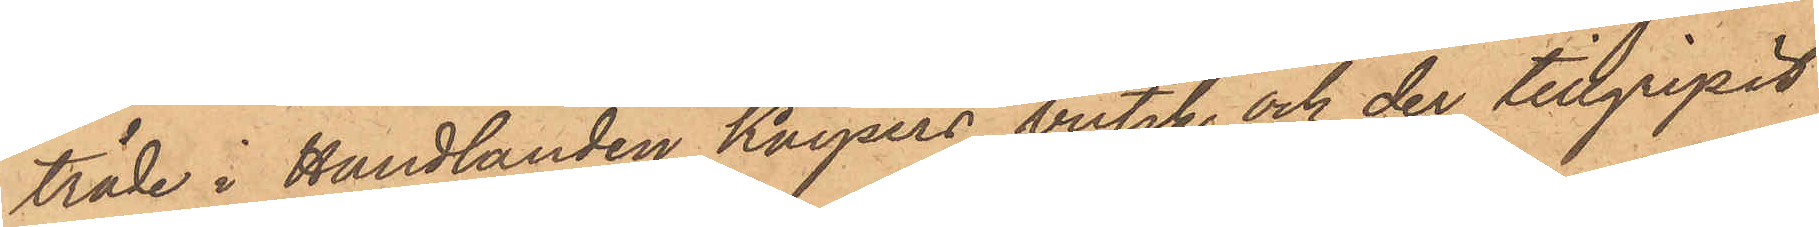träde i Handlanden Kaysers butik och der tillgripit
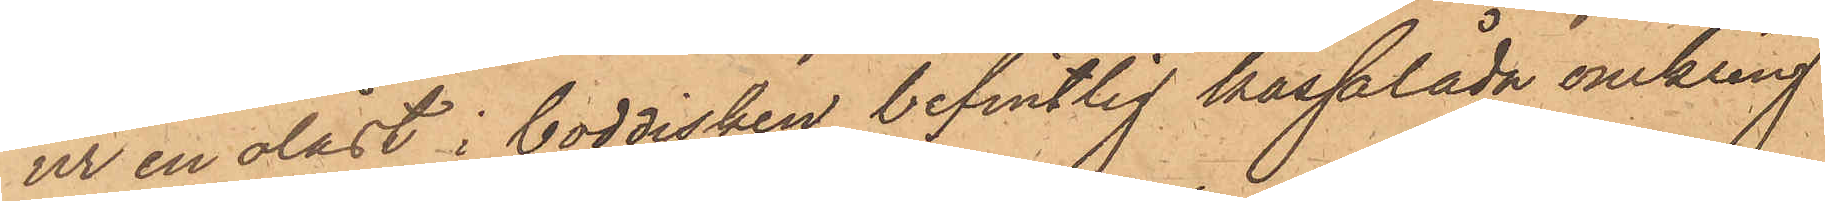ur en olåst i boddisken befintlig hasplåda omkring
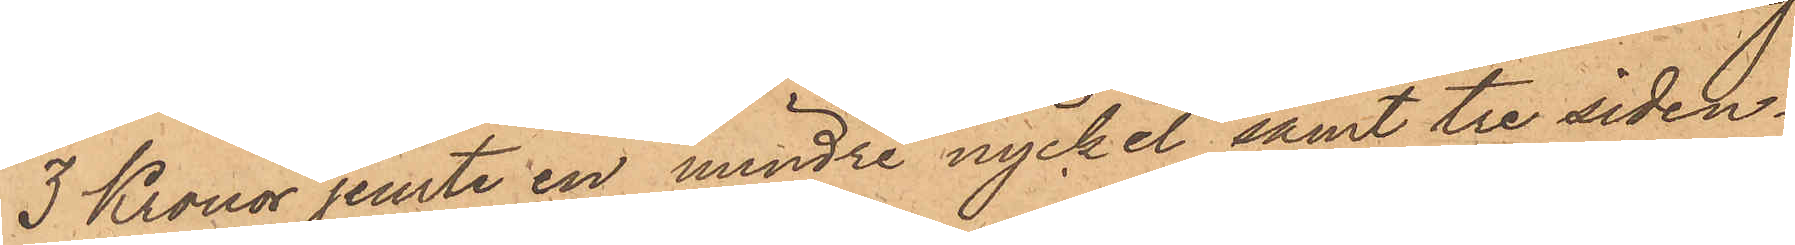3 Kronor jemte en mindre nyckel samt tre siden¬
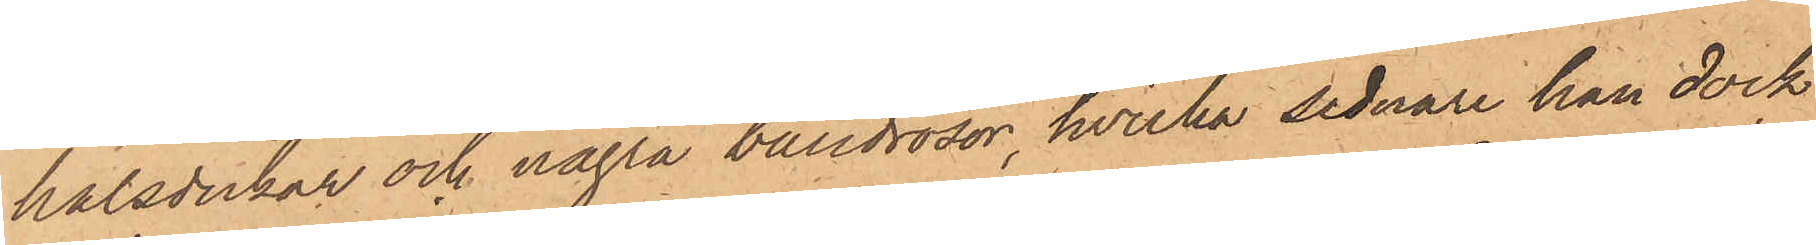halsdukar och några bandrosor, hvilka sednare han dock
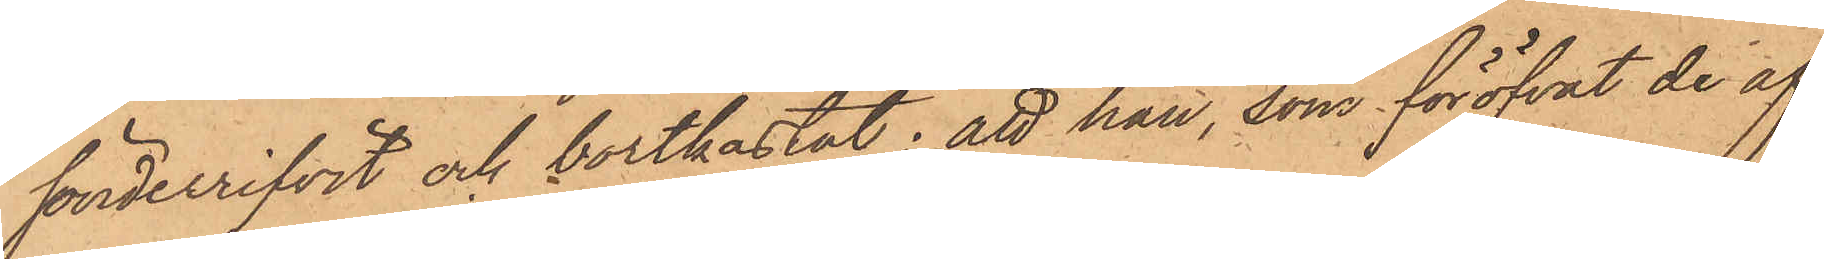sönderrifvit och bortkastat; att han, som föröfvat de af
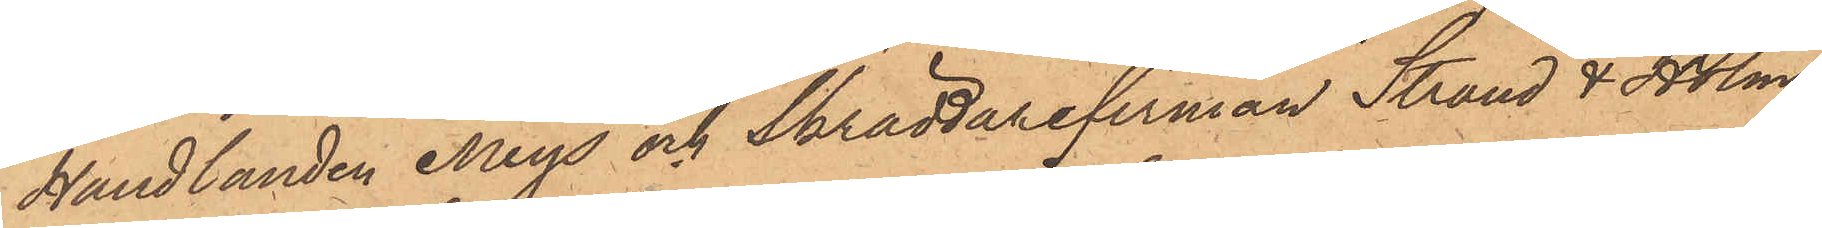Handlanden Meys och Skräddarefirman Strand & Holm¬
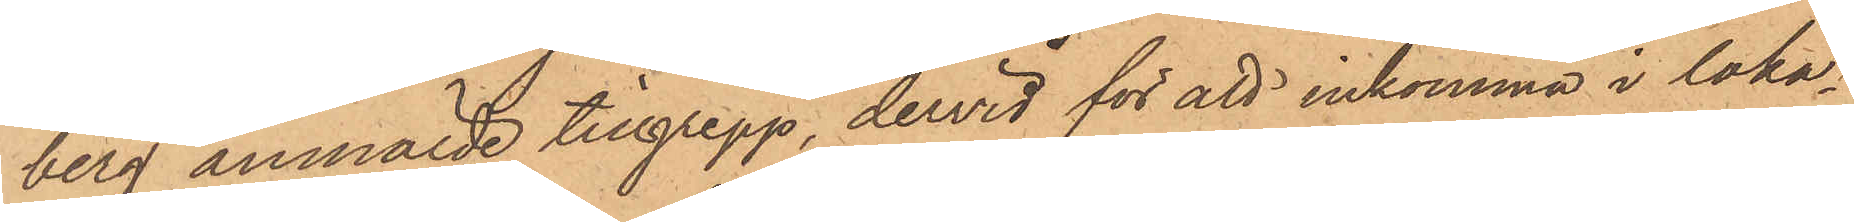berg anmälde tillgrepp, dervid för att inkomma i loka¬
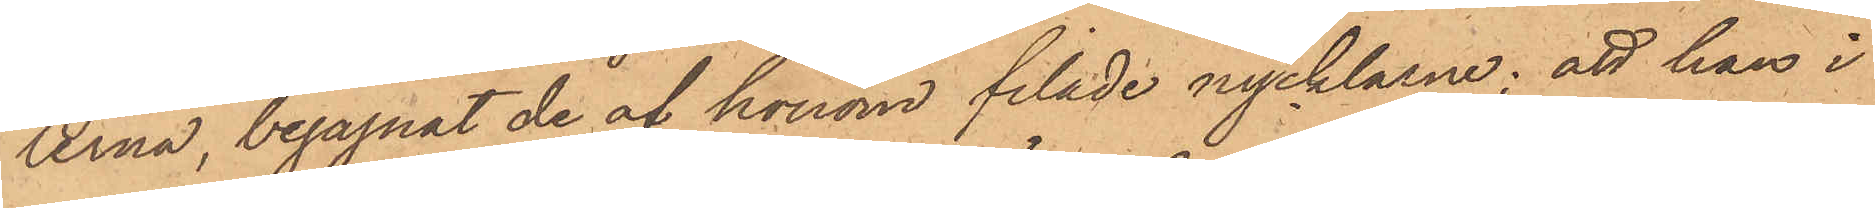lerna, begagnat de af honom filade nycklarne; att han i
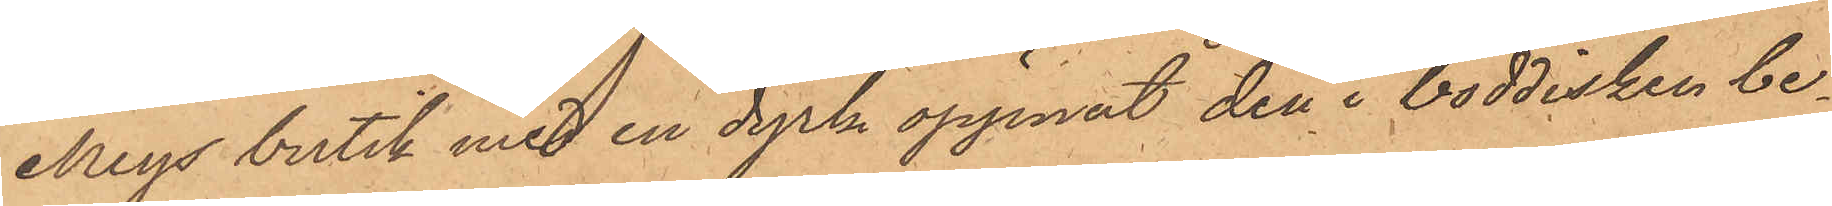Meys butik med en dyrk öppnat den i boddisken be¬
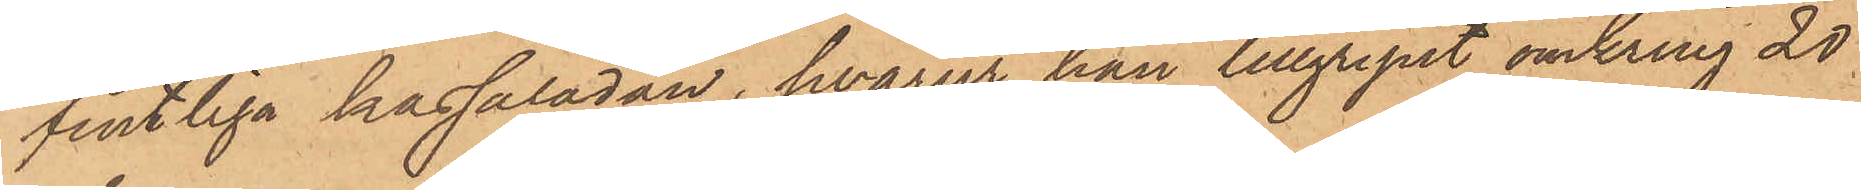fintliga kassalådan, hvarur han tillgripit omkring 20
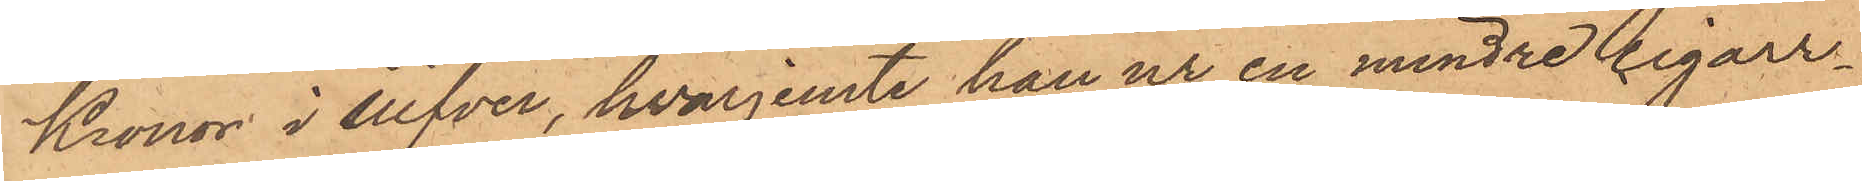Kronor i silfver, hvarjemte han ur en mindre cigarr¬
